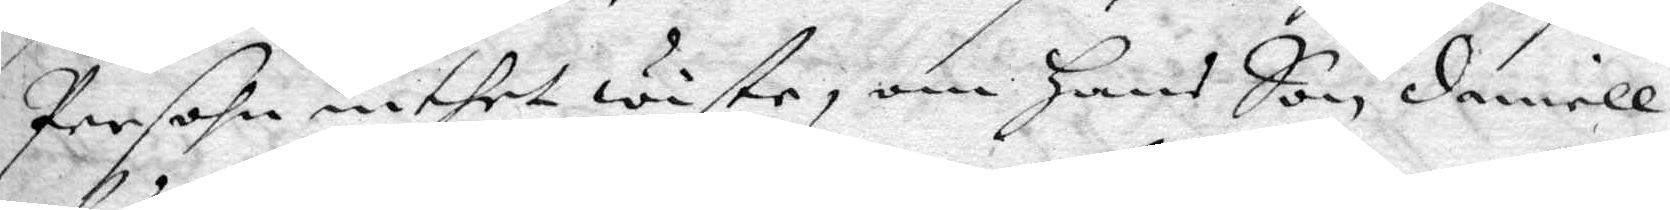Persohn inthet wiste, om hans Son, Daniell
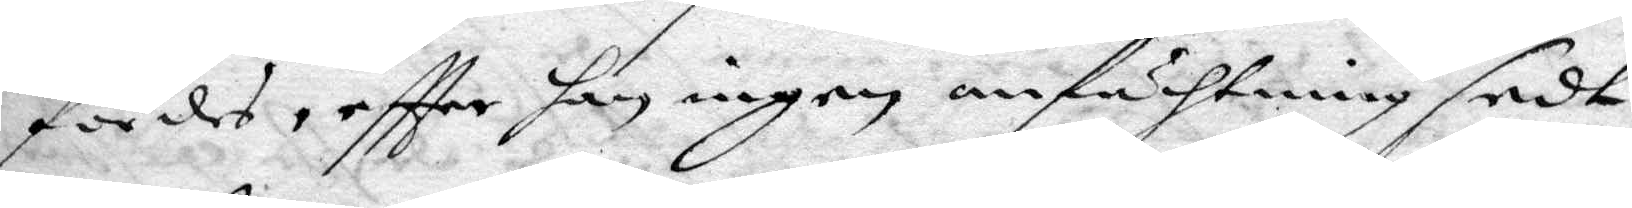fördes, eftter han ingen anfächtning sedt
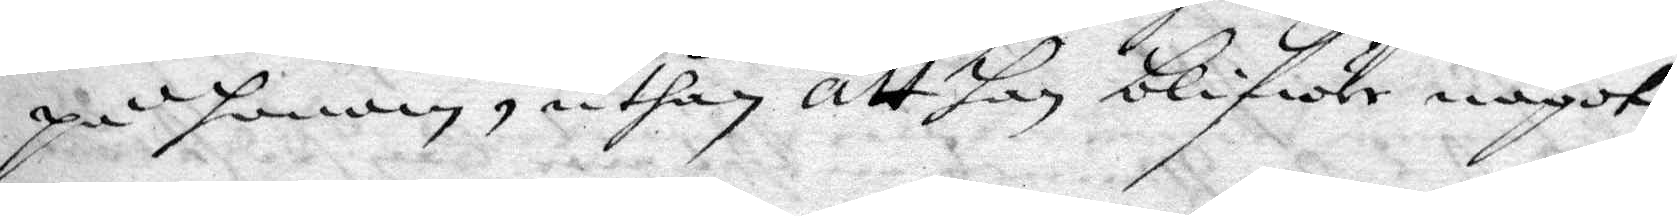på honom, uthan att han blifwer något
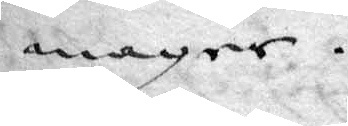mager.
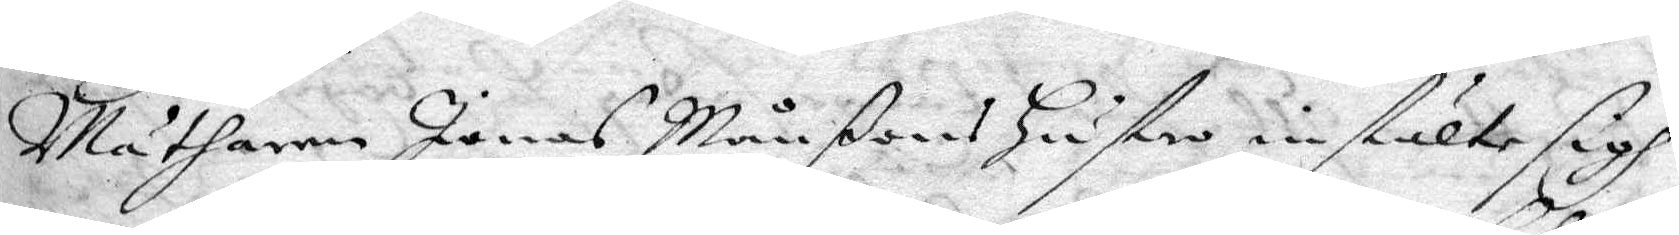Mätharen Jonas Månßons Hustru instälte sigh
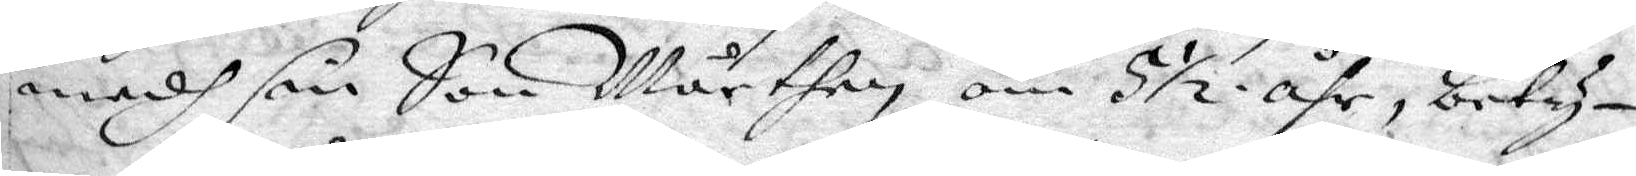medh sin Son Mårthen, om 5½ åhr, bety¬
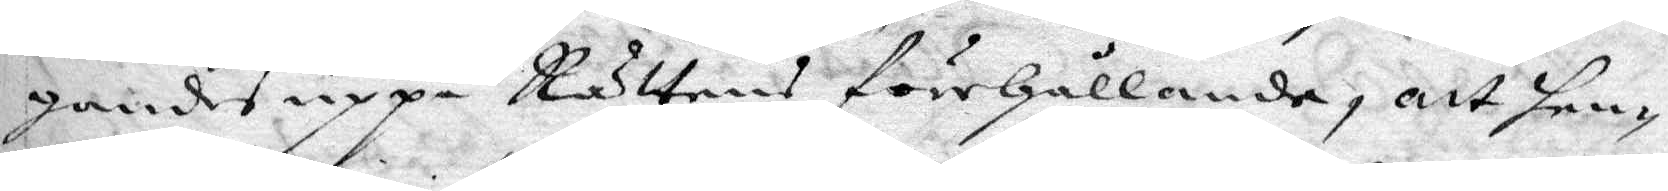gandes uppå Rättens förehållande, att hen¬
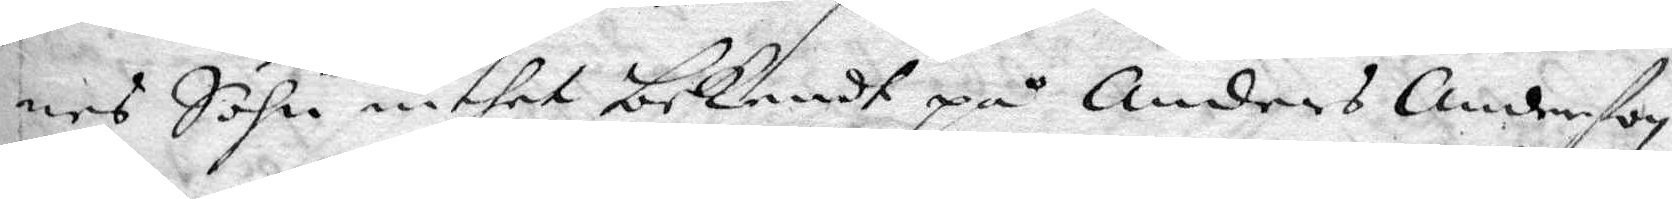nes Sohn inthet bekendt på Anders Anderßon
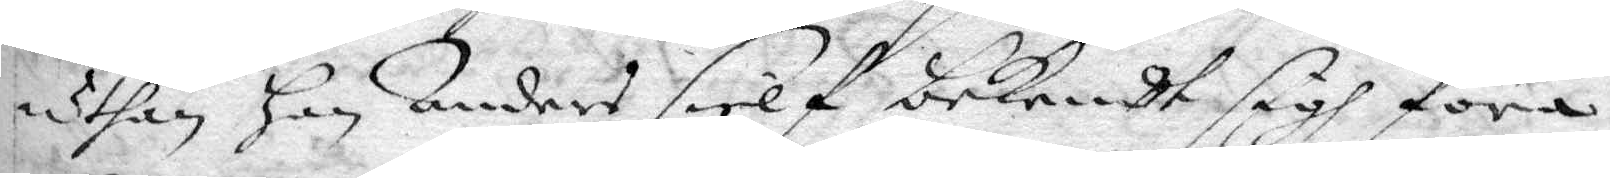uthan han Anders sielf bekendt sigh föra
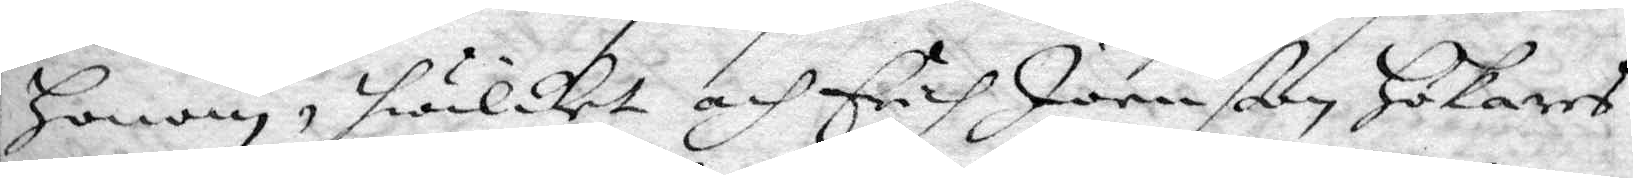honom, hwilket och Ericj Joenßon, Hökares
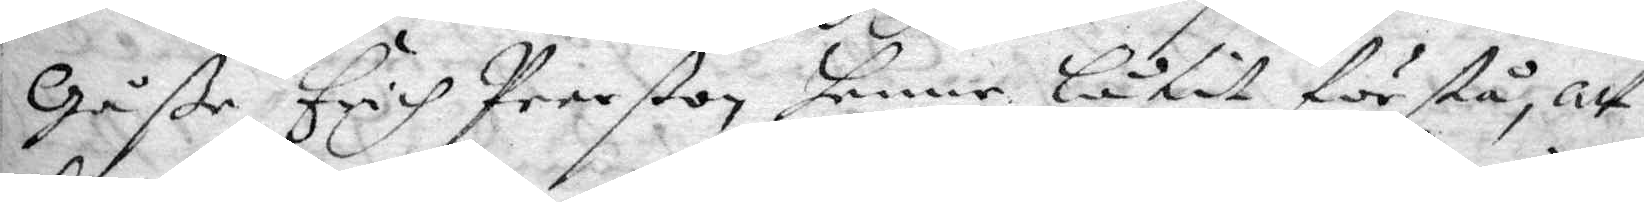Gåße Erich Perßon henne låtit förstå, att
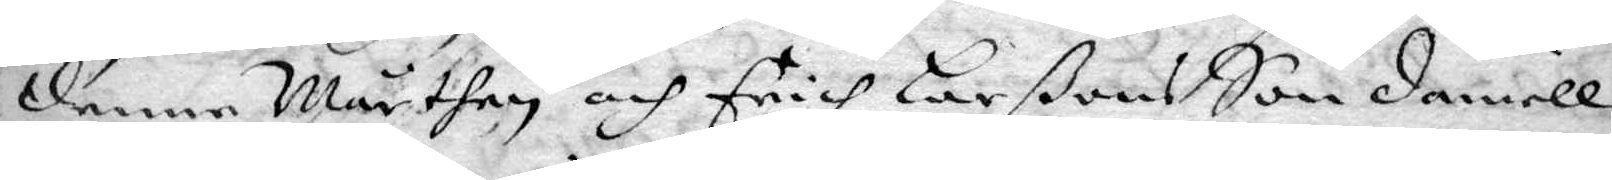denne Mårthen, och Erich larßons Son Daniell
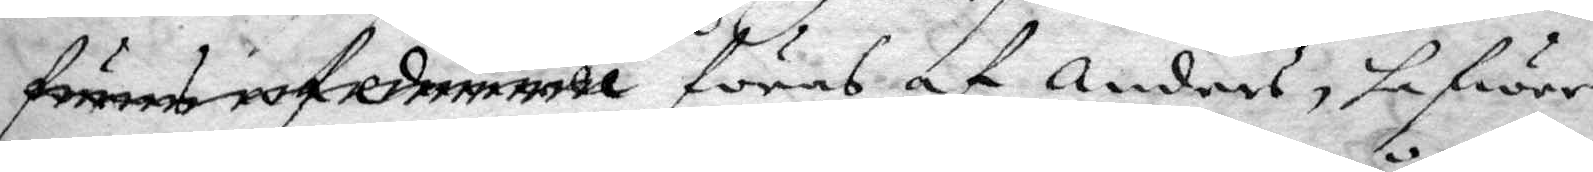föres af Daniell föres af Anders, hafwer
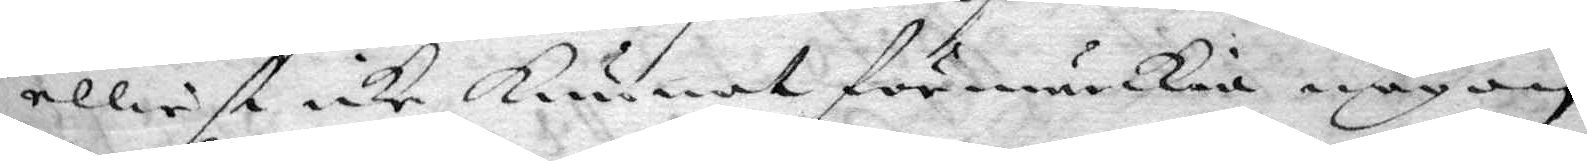elliest icke Kunnat förmärkia någon
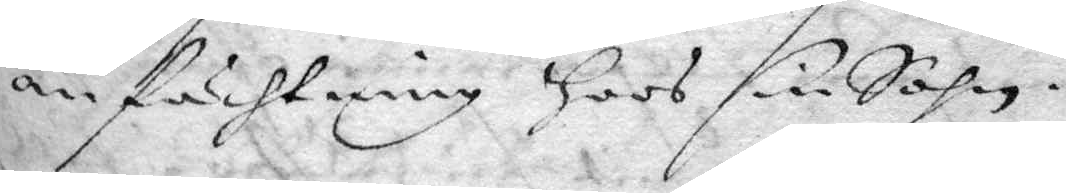anfächtning Hoos sin Sohn.
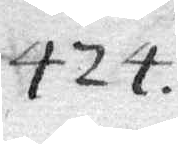424.
